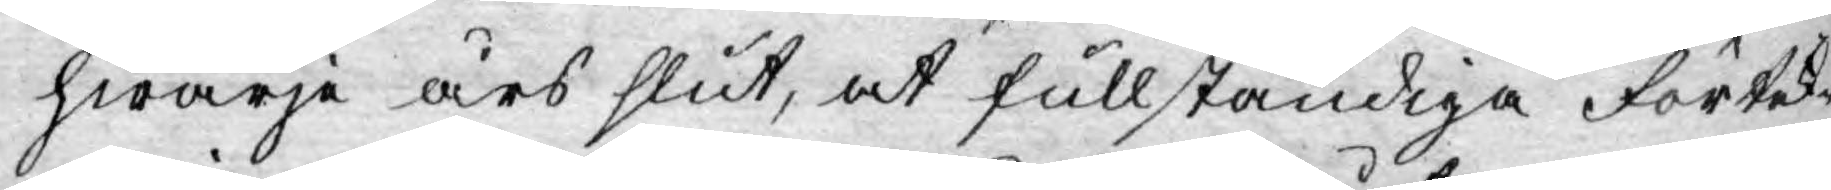hwarje års slut, at fullständiga Förteck¬
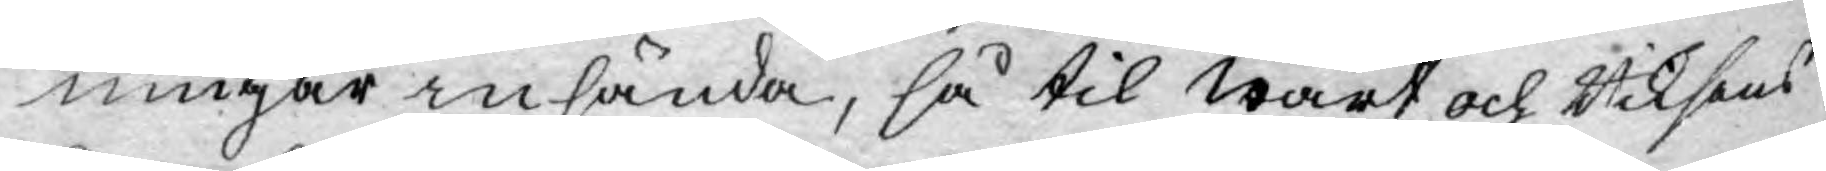ningar insända, så til Wårt och Riksens
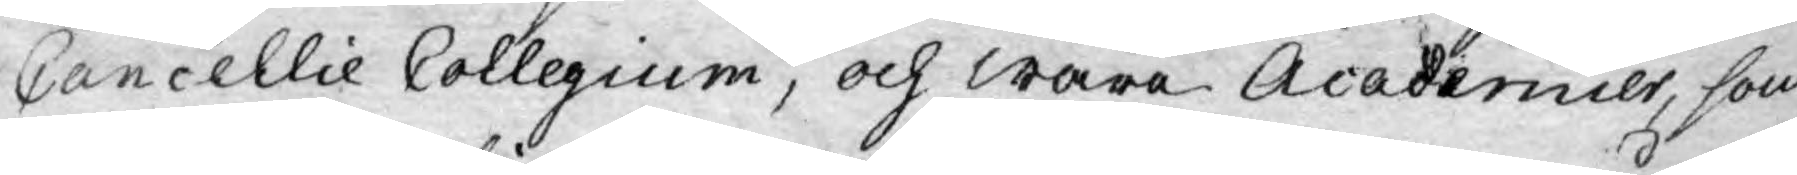Cancellie Collegium, och wåra Academier, som
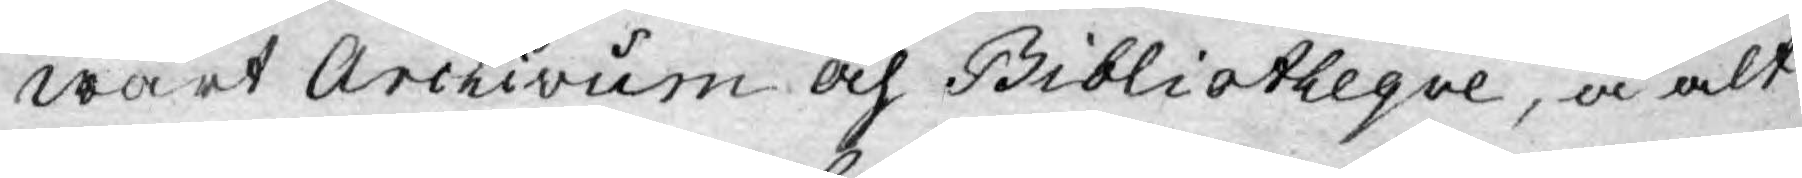wårt Archivum och Bibliotheque, å alt
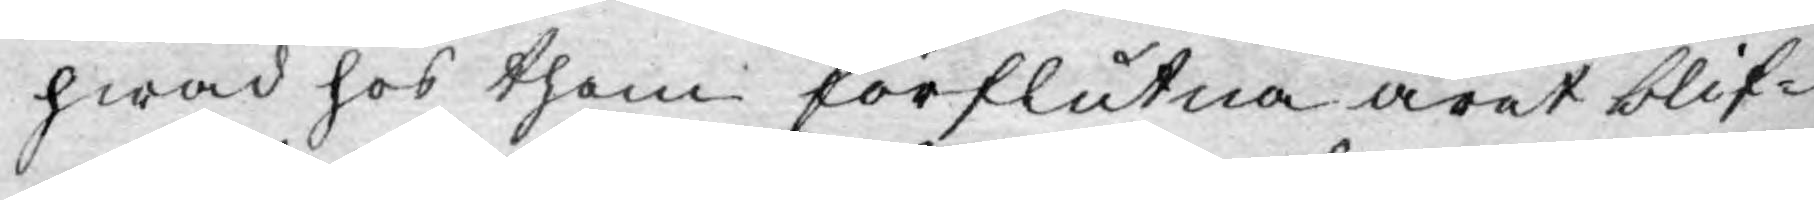hwad hos them förflutna året blif¬
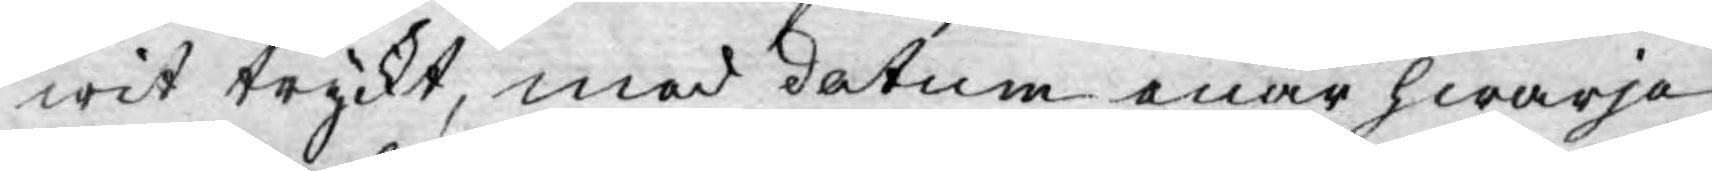wit tryckt, med datum enär hwarje
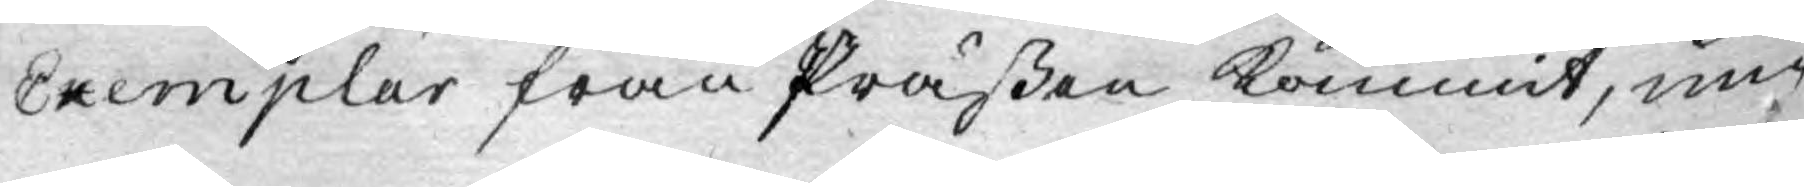Exemplar från Präßen kommit, un¬
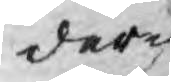der
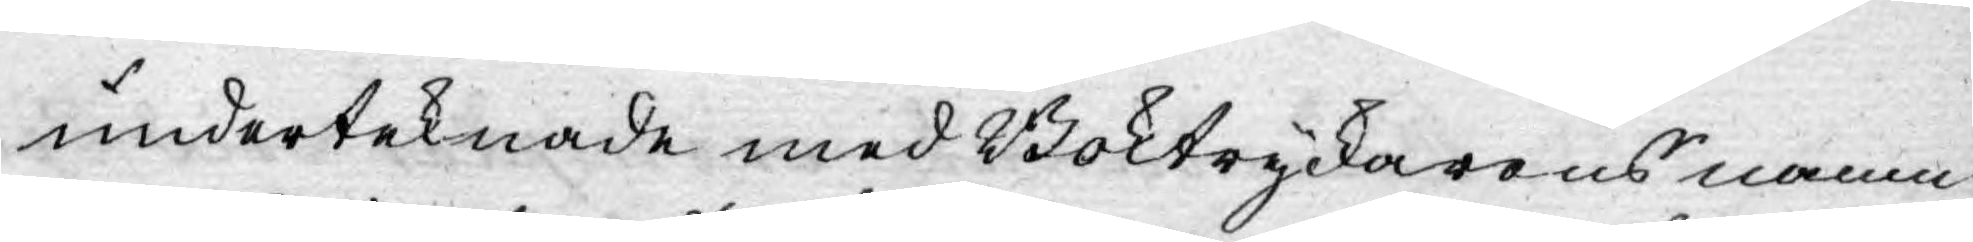underteknade med Boktryckarens namn
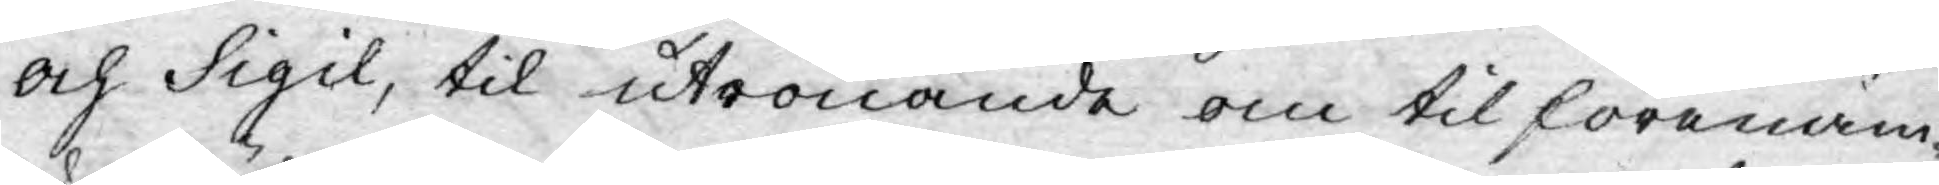och Sigil, til utrönande om til förenäm¬
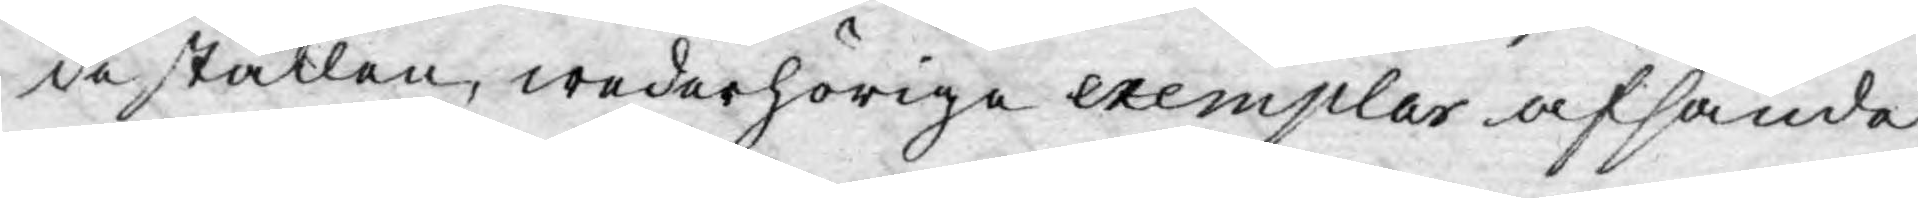de ställen, wederhörige exemplar afsände
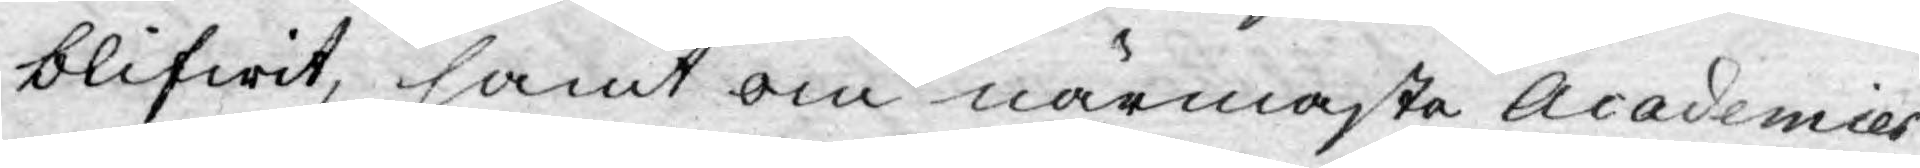blifwit, samt om närmaste Academies
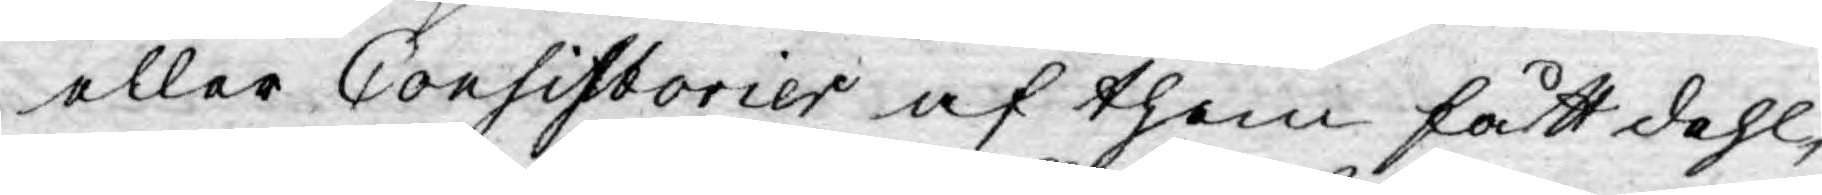eller Consistorier af them fått dehl,
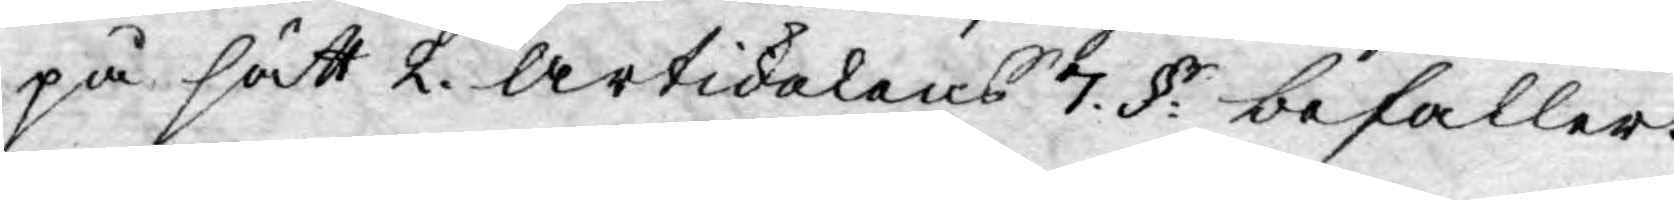på sätt 2. Artickelens 7. §: befaller.
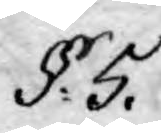§: 5.
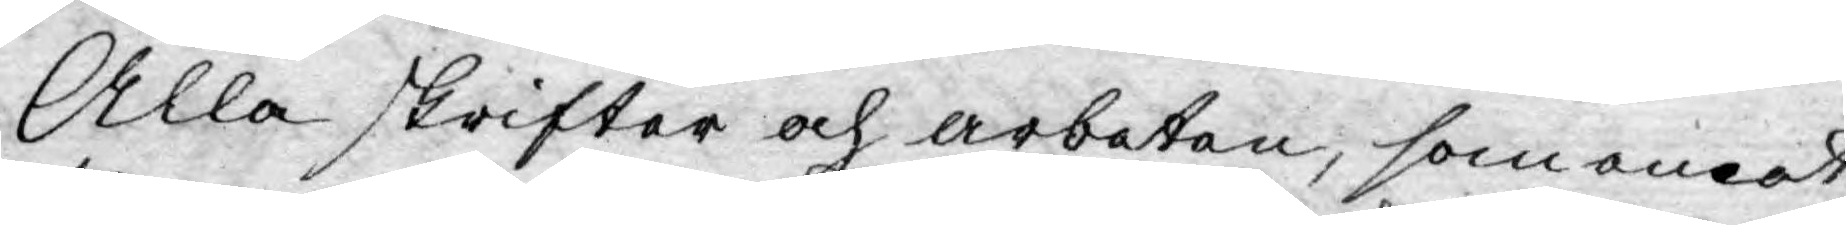Alla skrifter och arbeten, som emot
